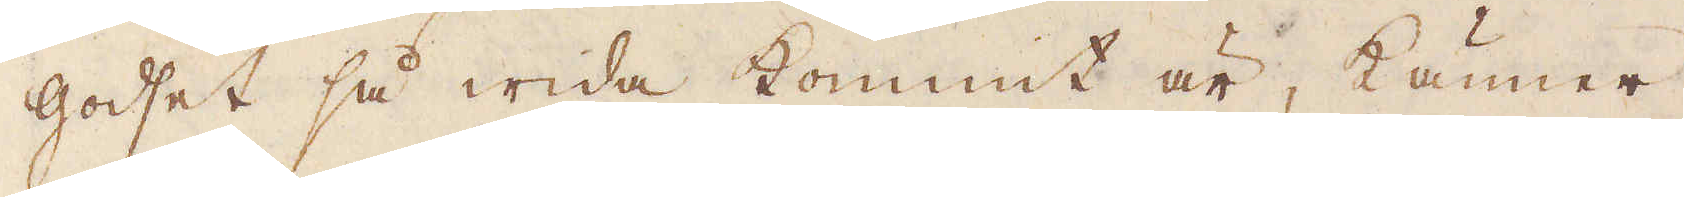godset så wida kommit är, känner
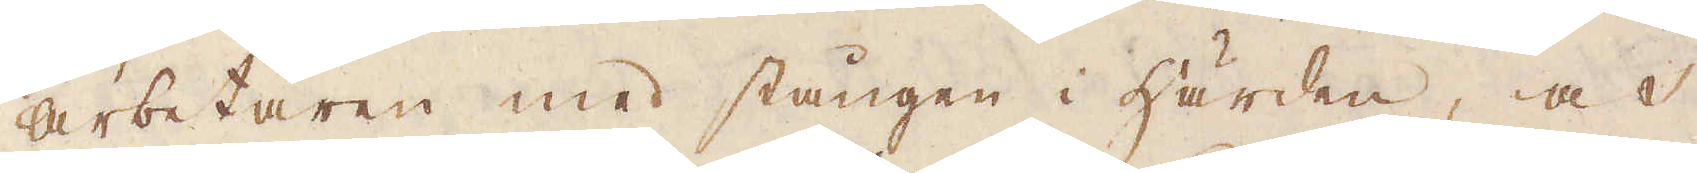arbetaren med stången i härden, och
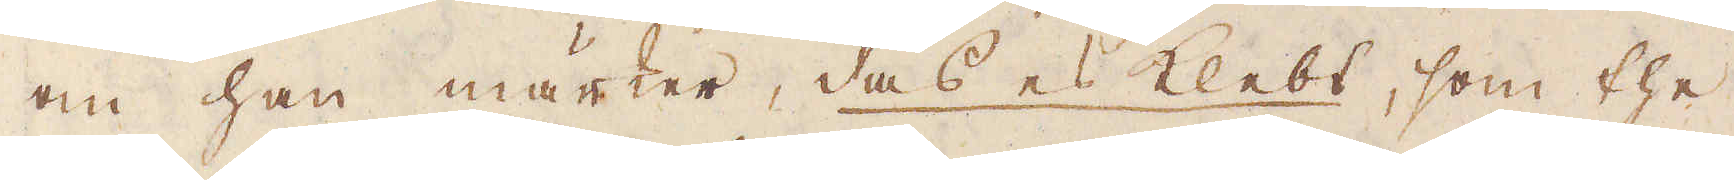om han märker, das es Klebt, som the
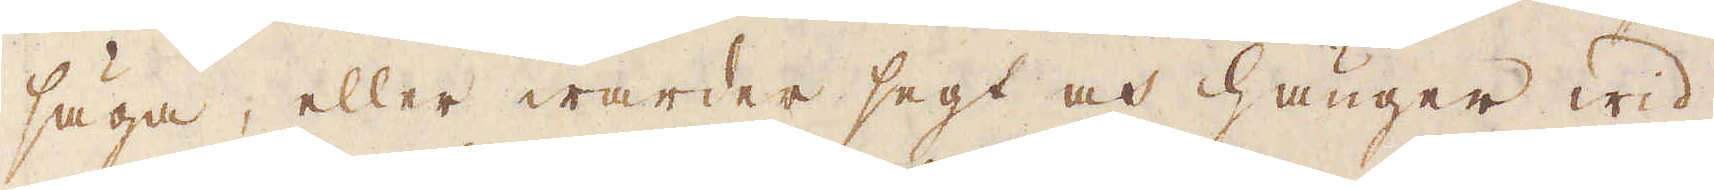säga, eller warder segt och hänger wid,
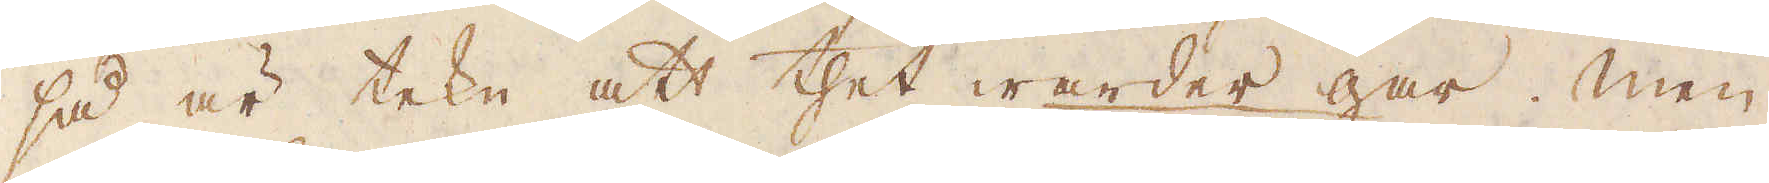så är tekn att thet warder gar. Men
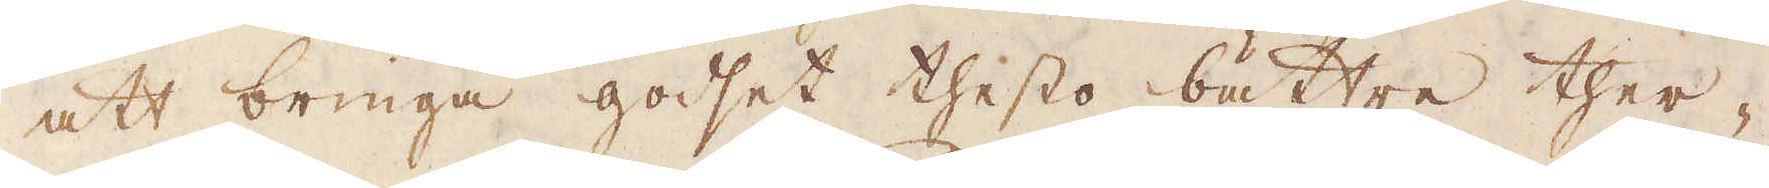att bringa godset thesto bättre ther-
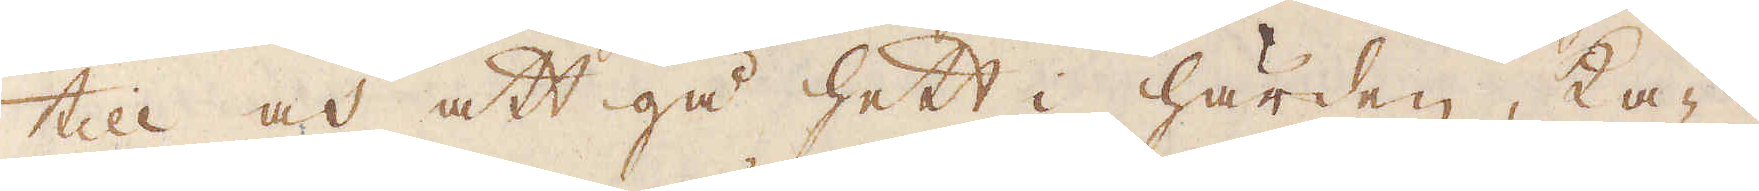till och att gå hett i härden, ka-
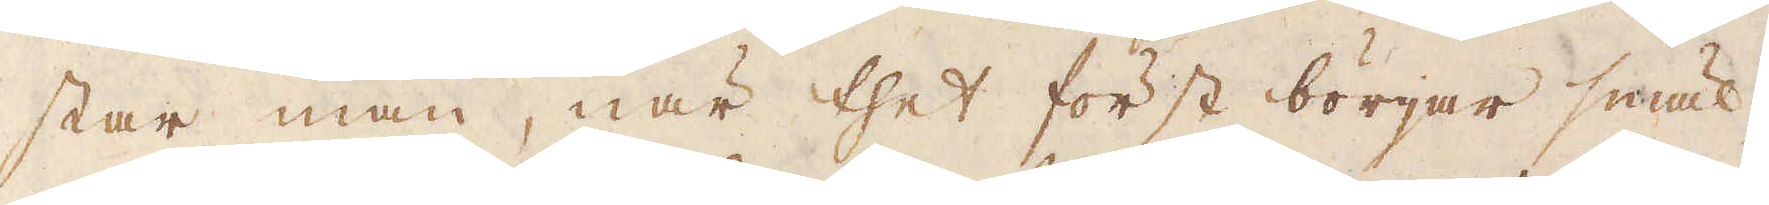star man, när thet först börjar smäl-
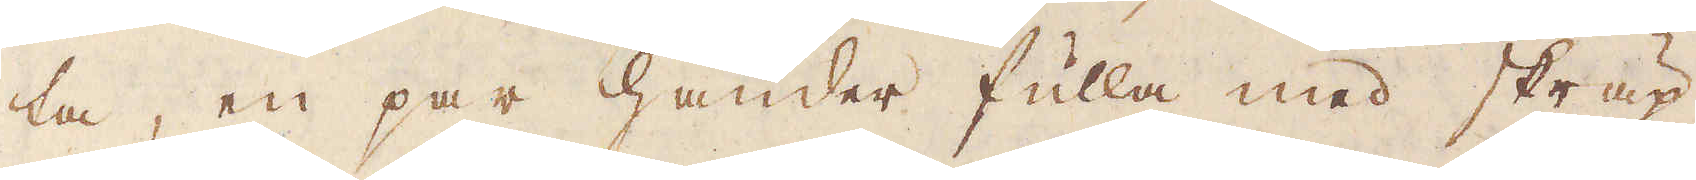ta, en par händer fulla med skräp
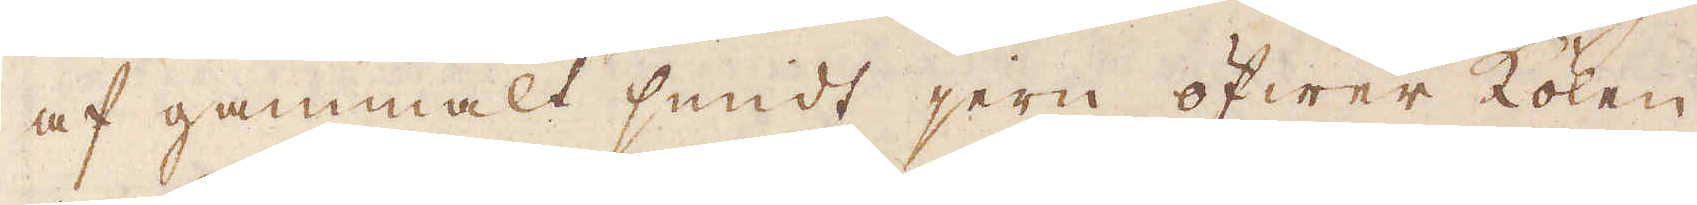af gammalt smidt jern öfwer kolen
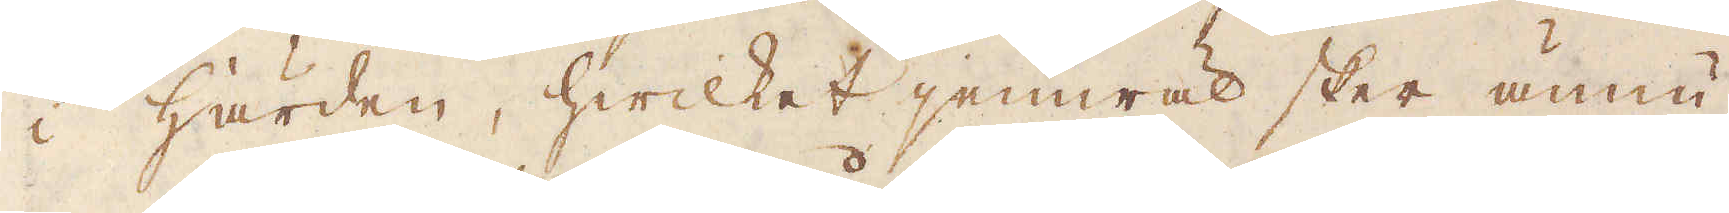i härden, hwilket jemwäl sker ännu
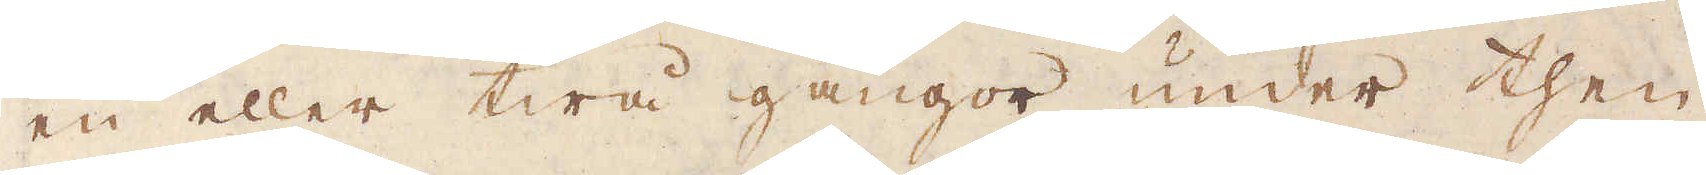en eller twå gångor under then
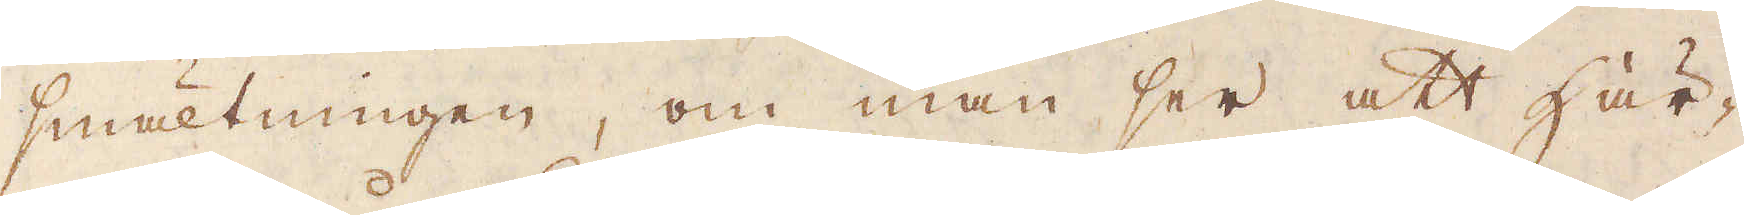smältningen, om man ser att här-
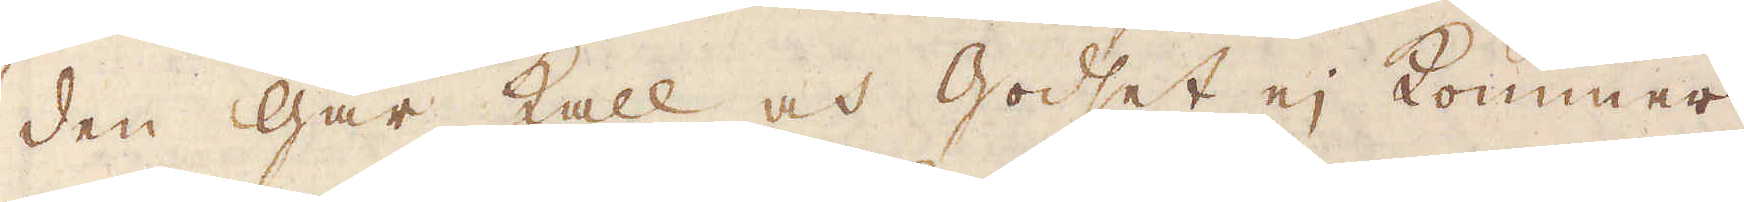den går kall och godset ej kommer
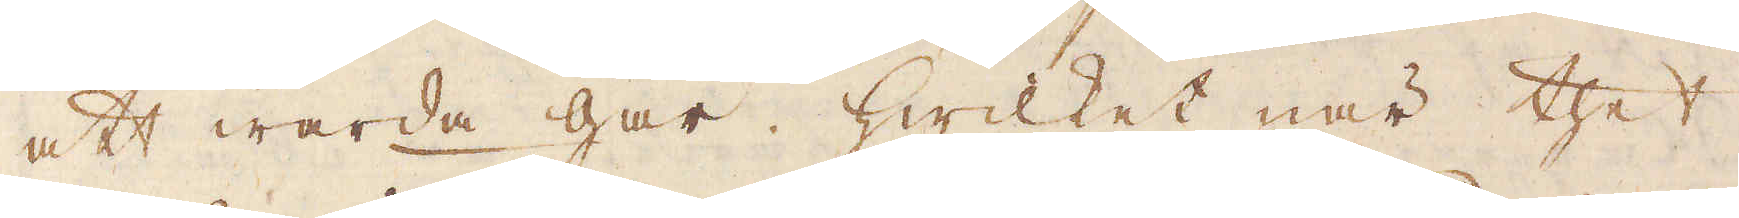att warda gar, hwilket när thet
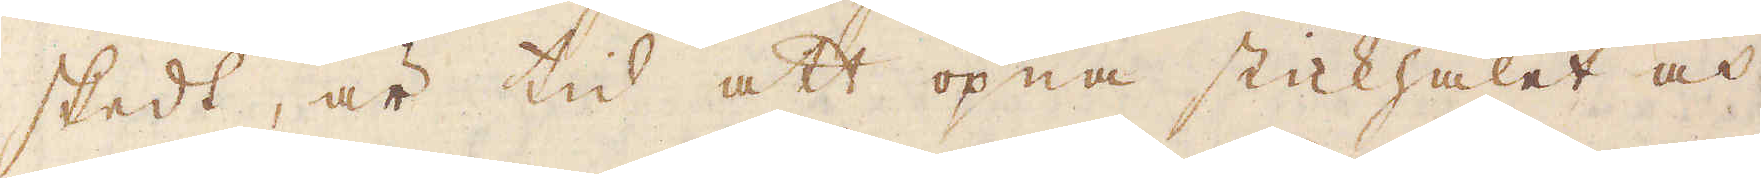skedt, är tid att öpna stickhålet och
